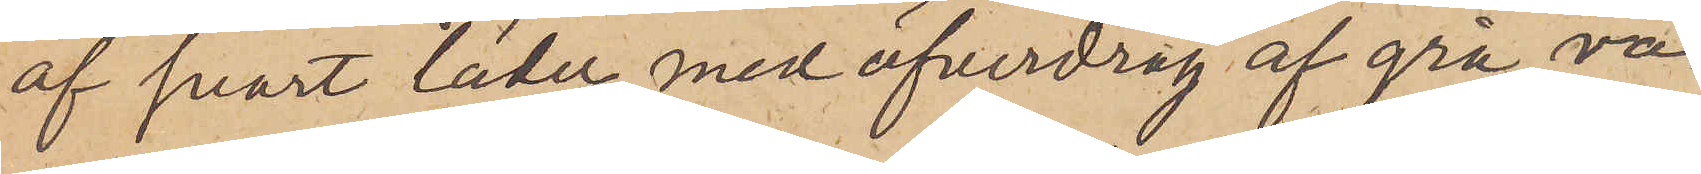af svart läder med öfverdrag af grå ra¬
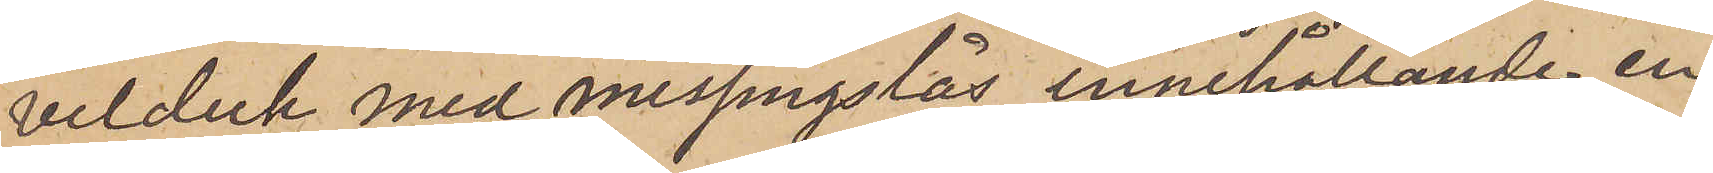velduk med messingslås, innehållande en
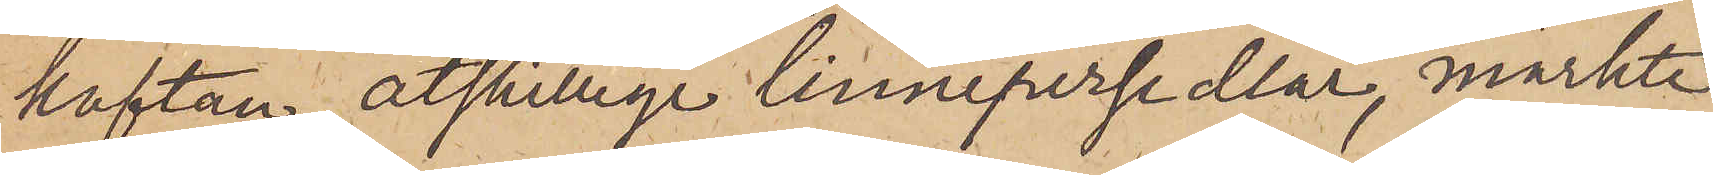kaftan, åtskillige linnepersedlar, märkte
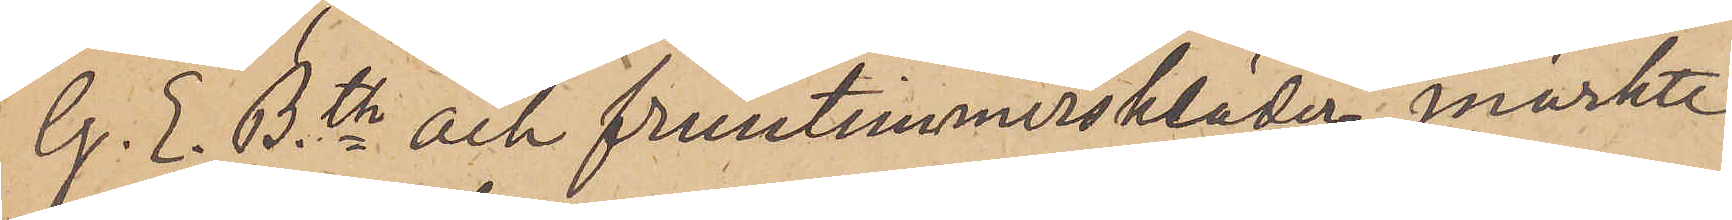G. E. Bth och fruntimmerskläder, märkte
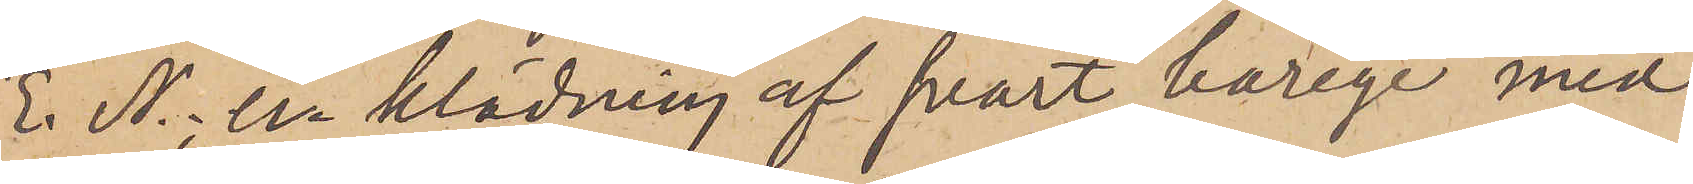E. N.; en klädning af svart barège med
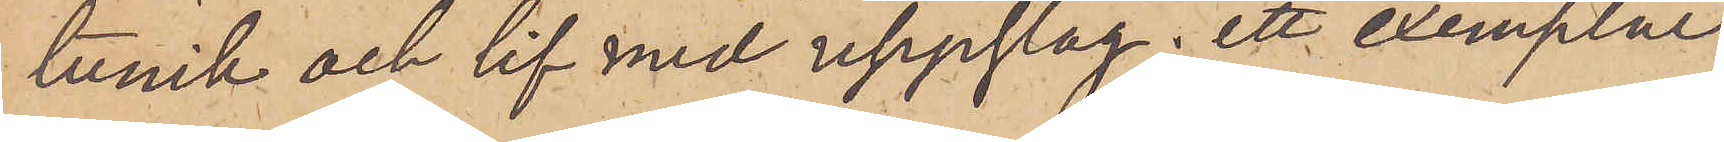tunik och lif med uppslag; ett exemplar
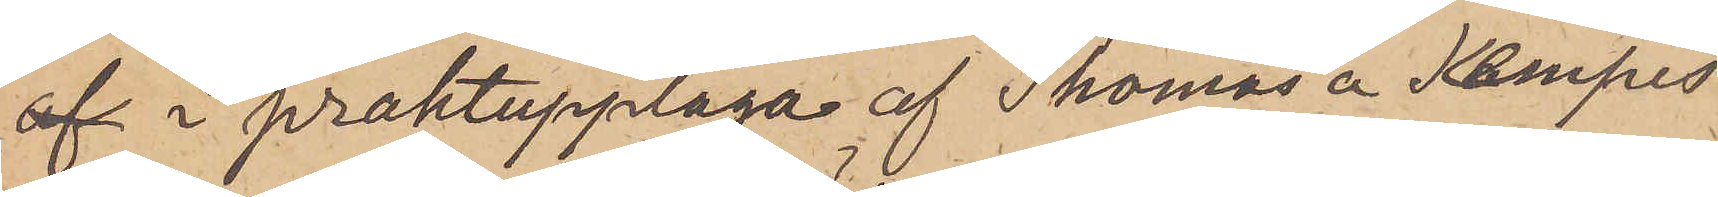af i praktupplaga af Thomas a Kempis
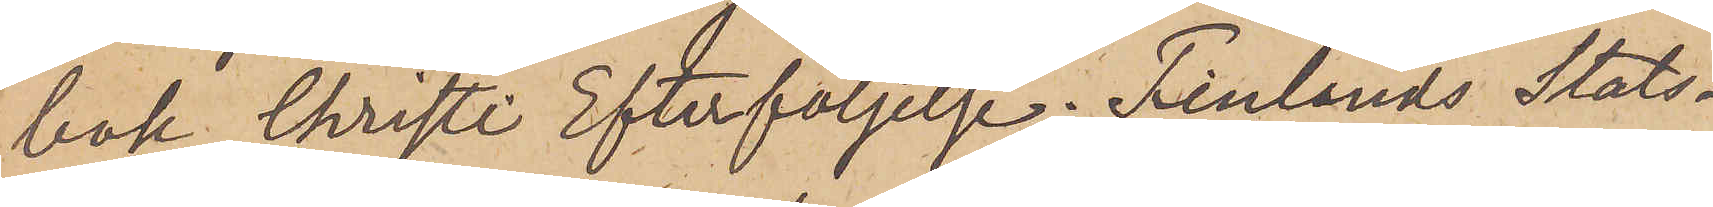bok Christi Efterföljelse; Finlands Stats¬
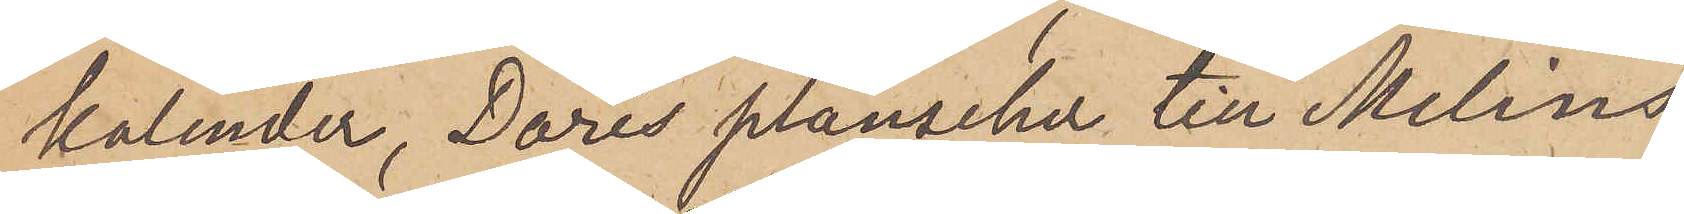kalender, Dorés planscher till Melins
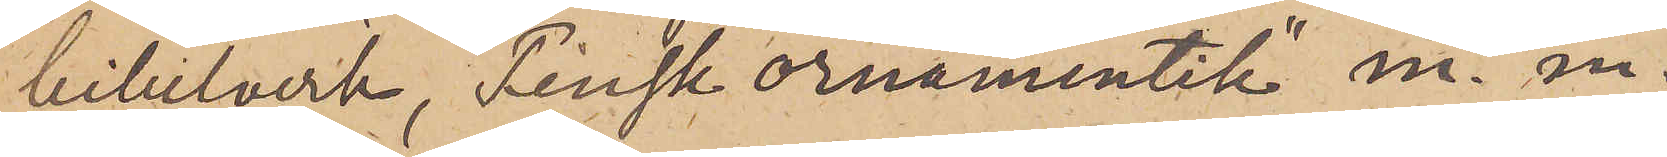bibelverk, "Finsk ornamentik" m. m.
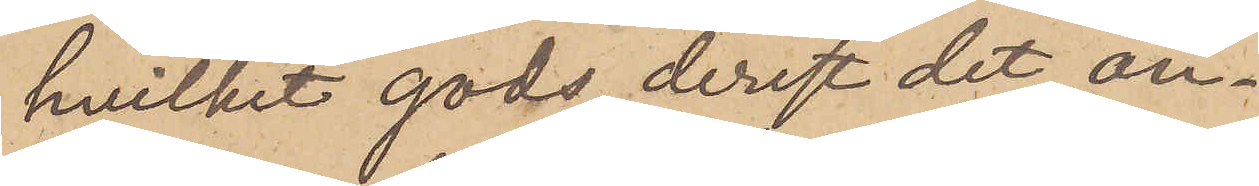hvilket gods, derest det an¬
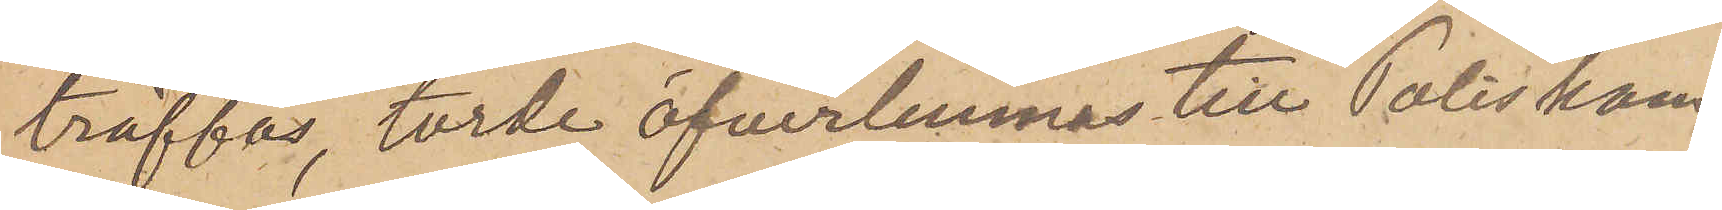träffas, torde öfverlemnas till Poliskam¬
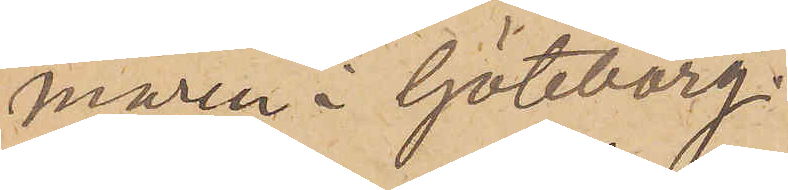maren i Göteborg.
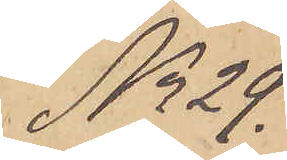No 29.
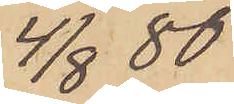4/8  80
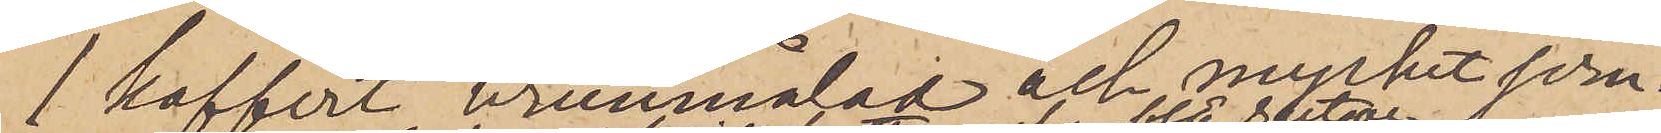1 koffert brunmålad och mycket jern¬
